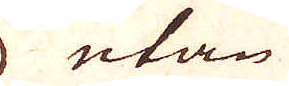utan
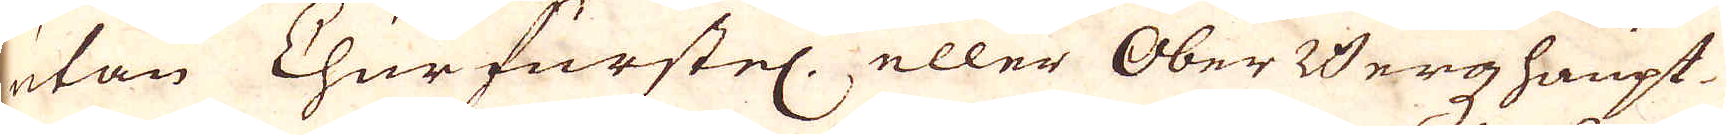utan Churfurstel. eller Ober Bergzhaupt-
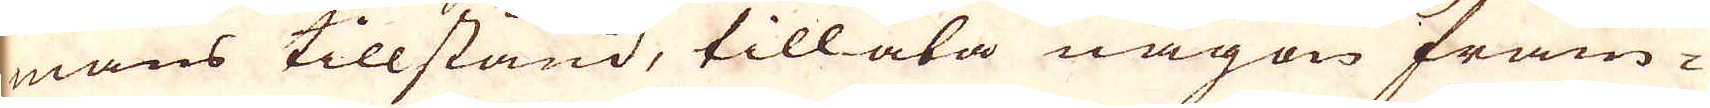mans tillstånd, tillåta någon främ-
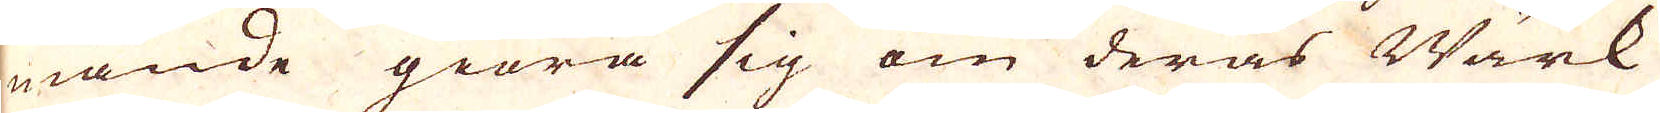mande giöra sig om deras Wärk
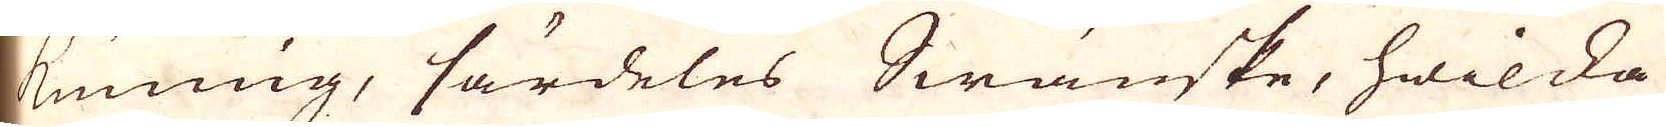kunning, särdeles Swänske, hwilcka
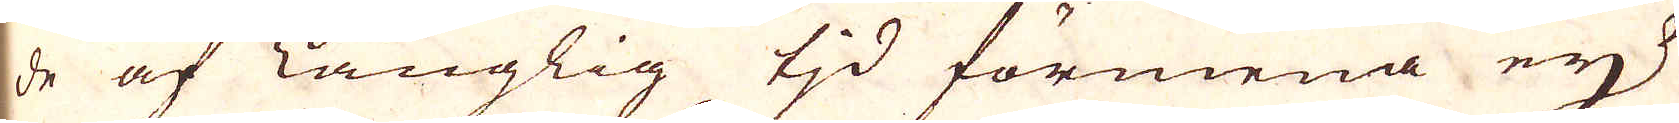de af Långlig tid förmena eij
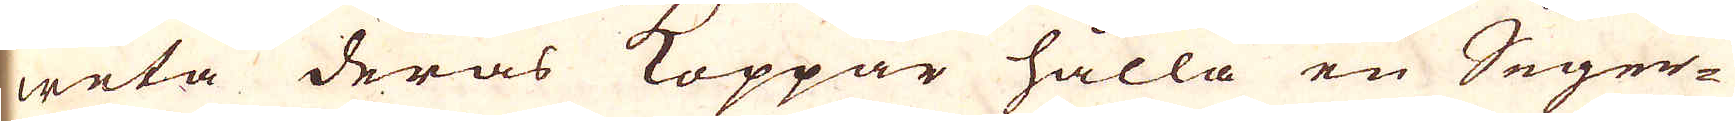weta deras Koppar hålla en Seger-
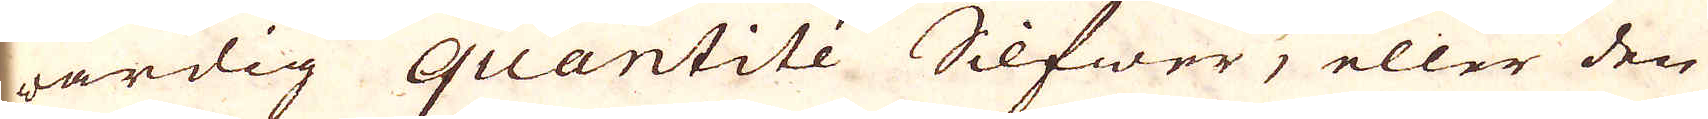wärdig quantité Silfwer, eller den
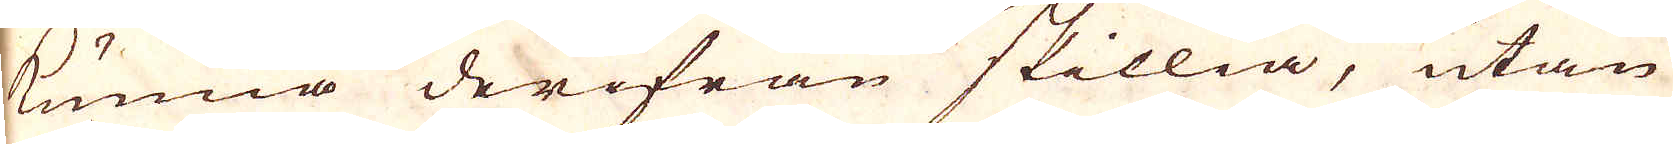kunna derifrån skillia, utan
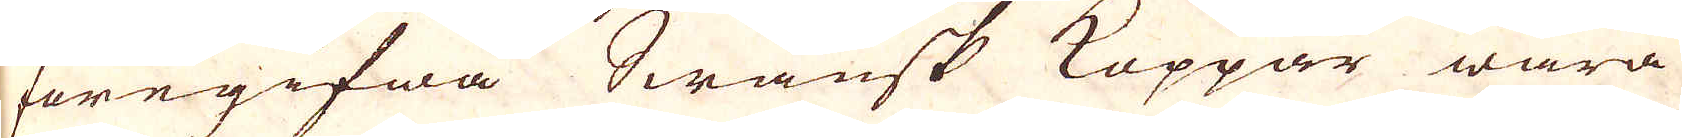föregifwa Swänsk Koppar wara
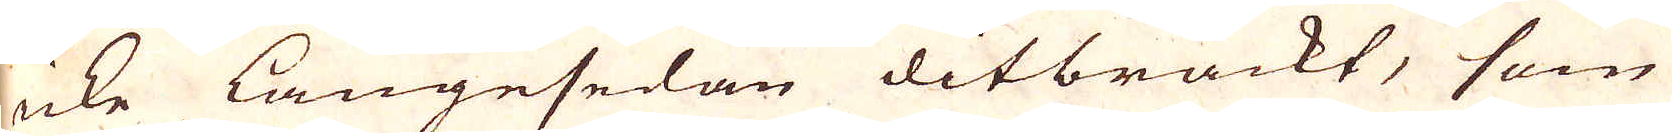icke längesedan ditbrackt, som
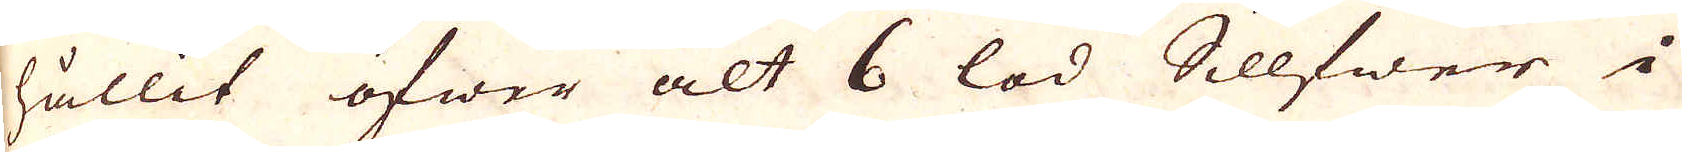hållit öfwer alt 6 lod Sillfwer i
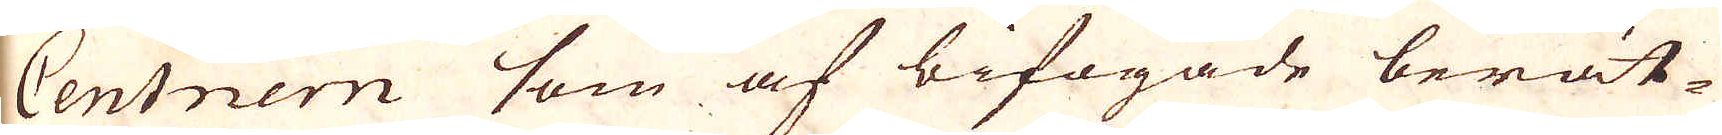Centnern som af bifogade berät-
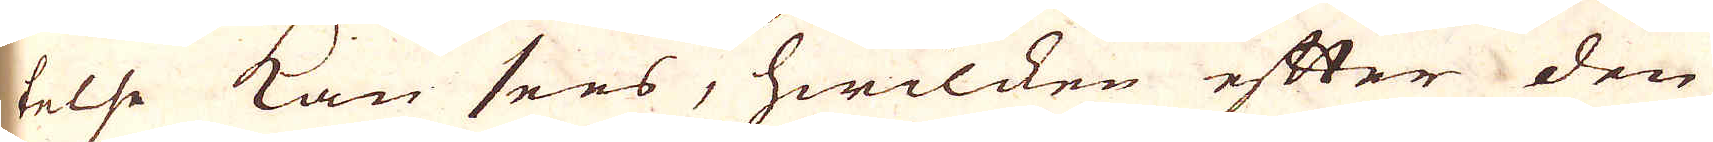telse kan sees, hwilken efter den
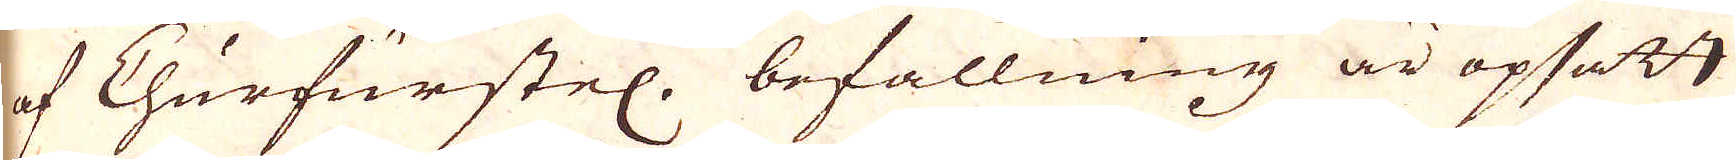af Churfurstel. befallning är opsatt
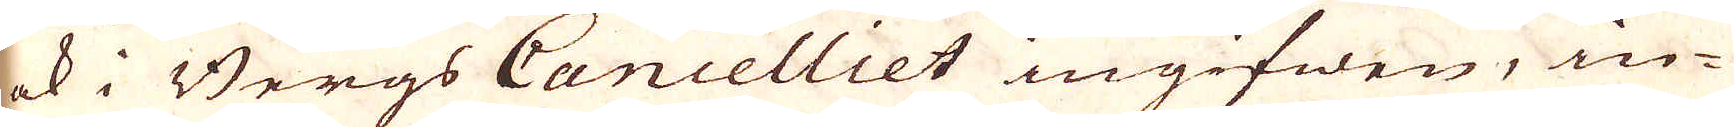ock i Bergs Cancelliet ingifwen, in-
